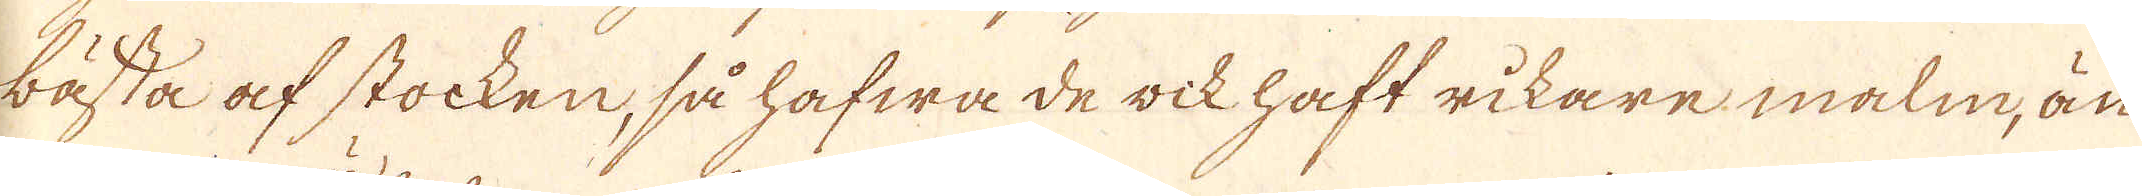bästa af stocken, så hafwa de oik haft rikare malm, än
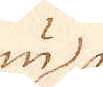nu
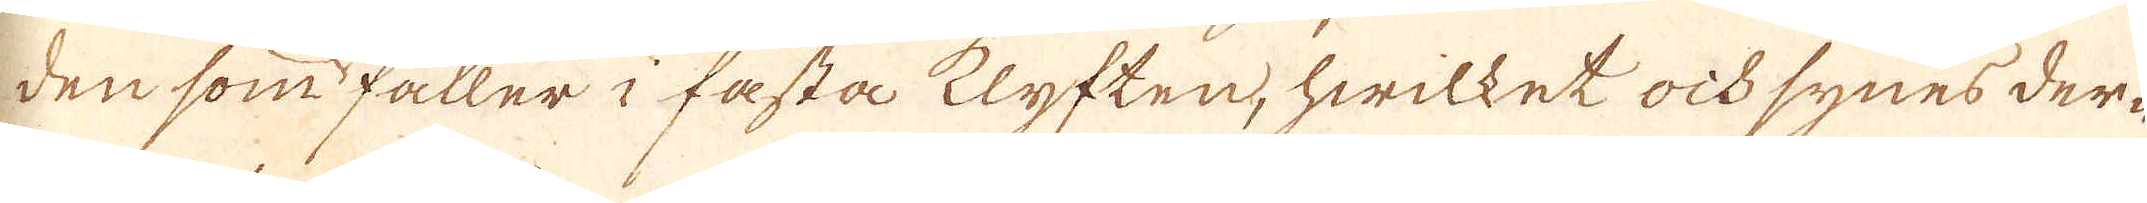den som faller i fasta klyften, hwilket ock synes der-
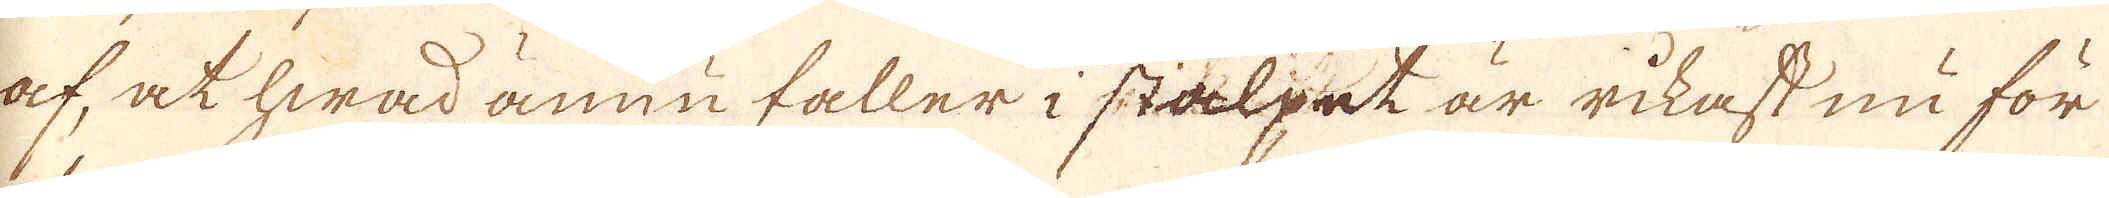af, at hwad ännu faller i stälpet är rikast nu för
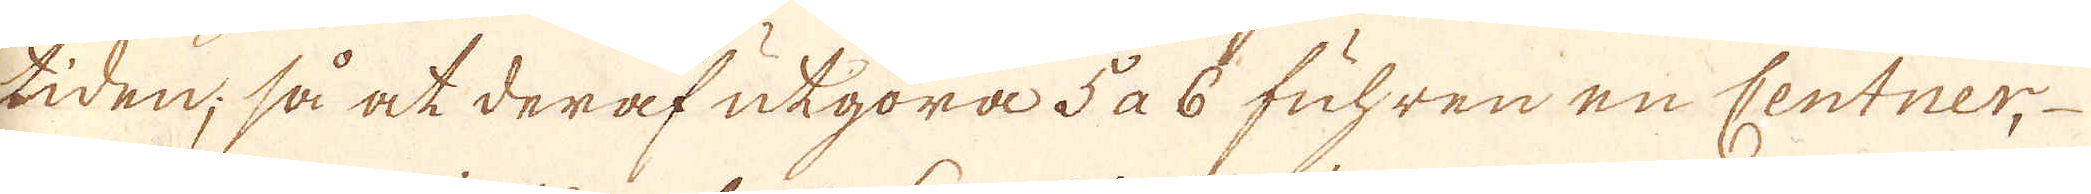tiden; så at deraf utgöra 5 a 6 fuhren en Centner,
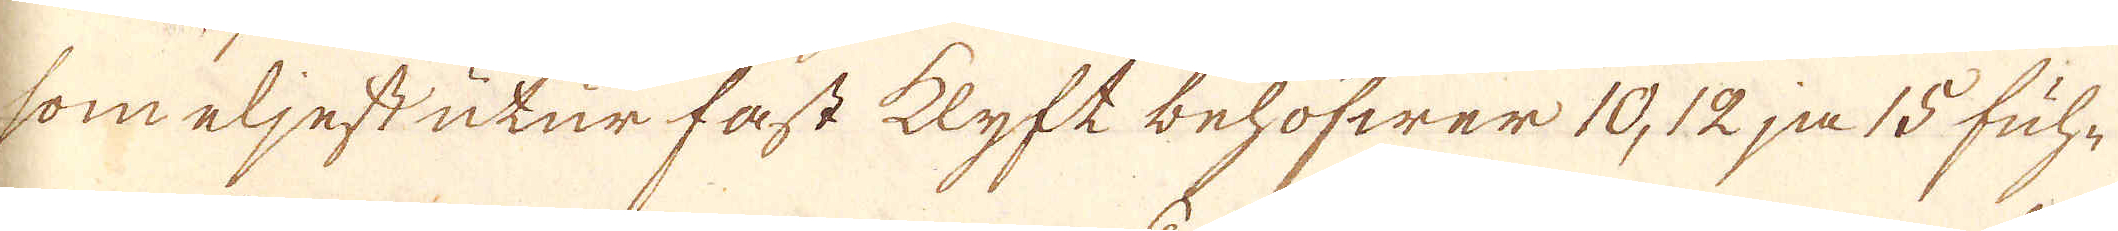som eljest utur fast klyft behöfwer 10, 12 ja 15 fuh-
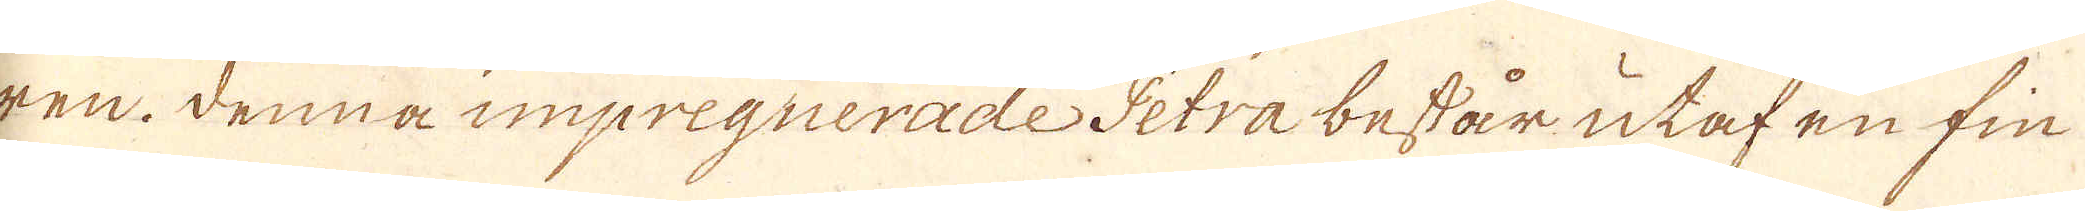ren. Denna impregnerade Petra består utaf en fin
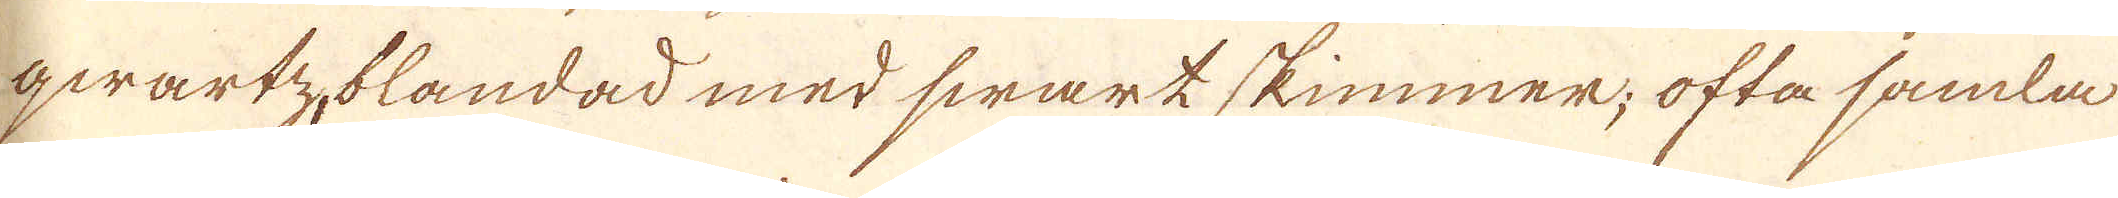qwartz-blandad med swartskimmer; ofta samla
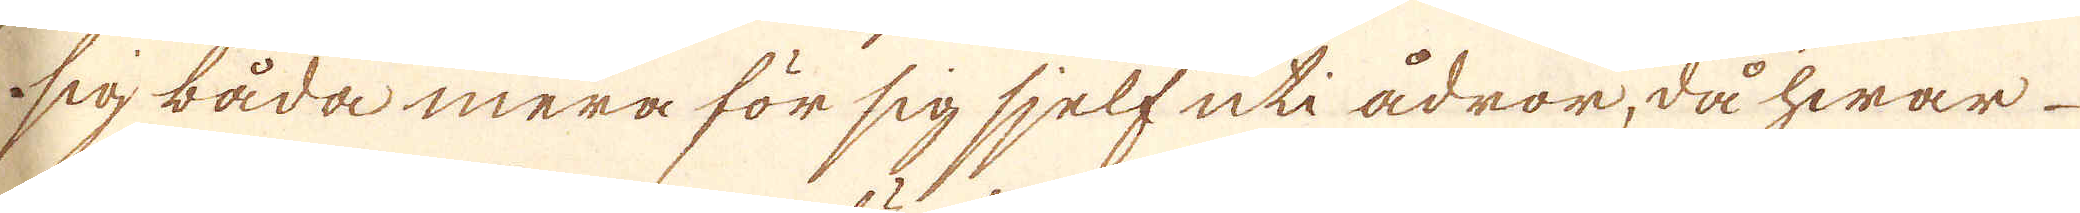sig båda mera för sig sjelf uti ådror, då hwar
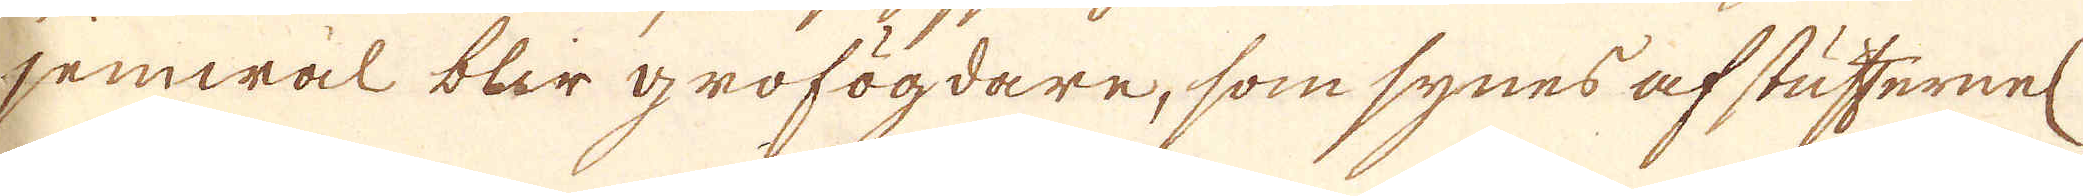jemwäl bler grofögdare, som synes af stuffernel
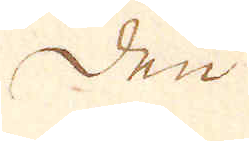Den
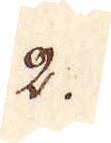2.
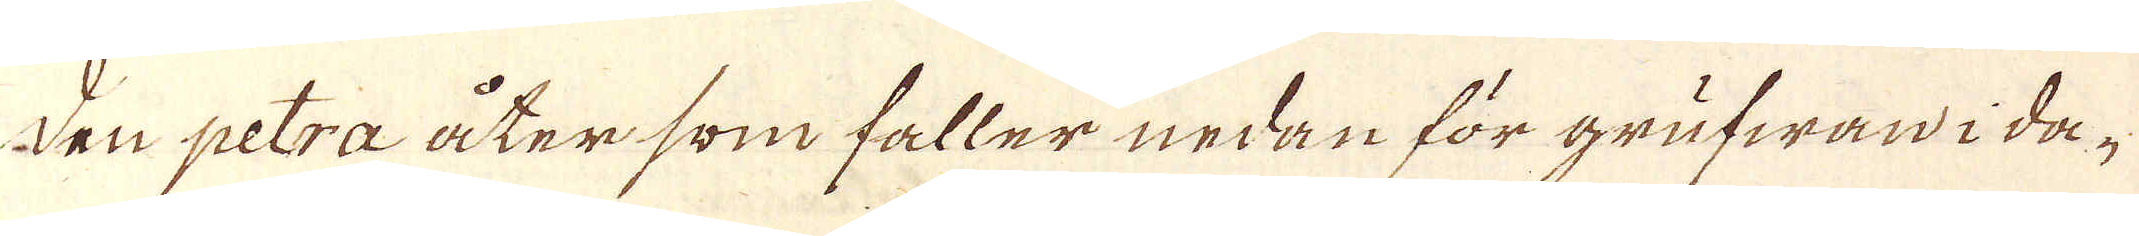Den petra åter som faller nedan för grufwan i da-
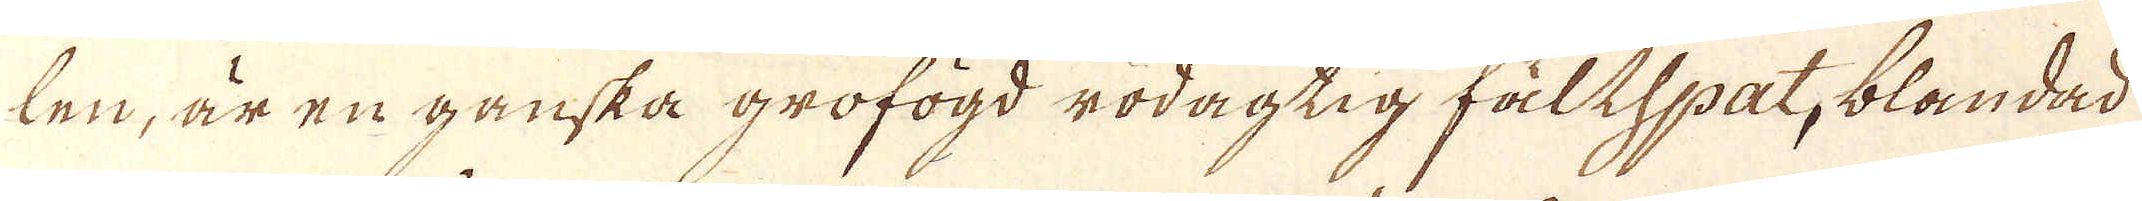len, är en ganska grofögd rödagtig fältspat, blandad
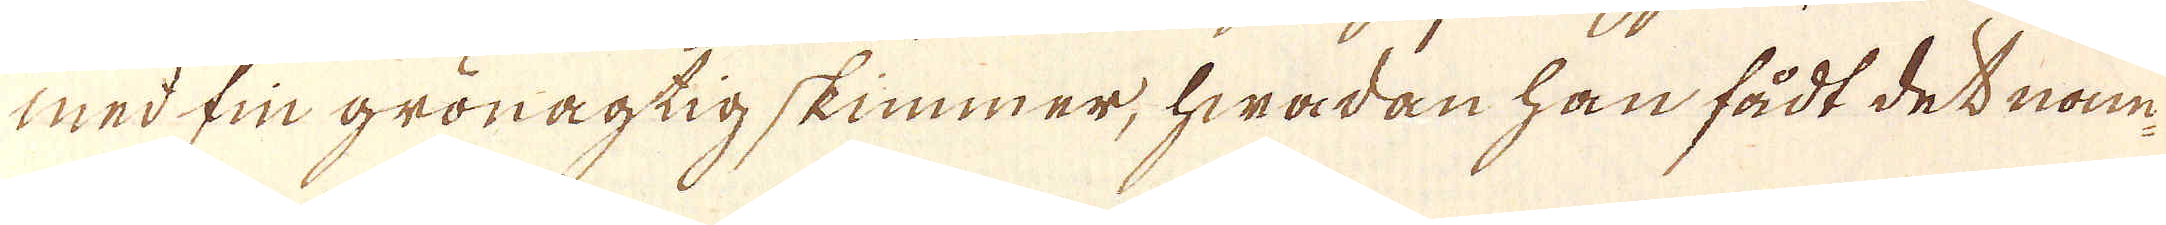med fin gröragtig skimmer, hwadan han fådt det nam-
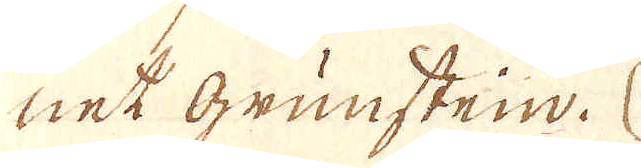net Grünstein.
